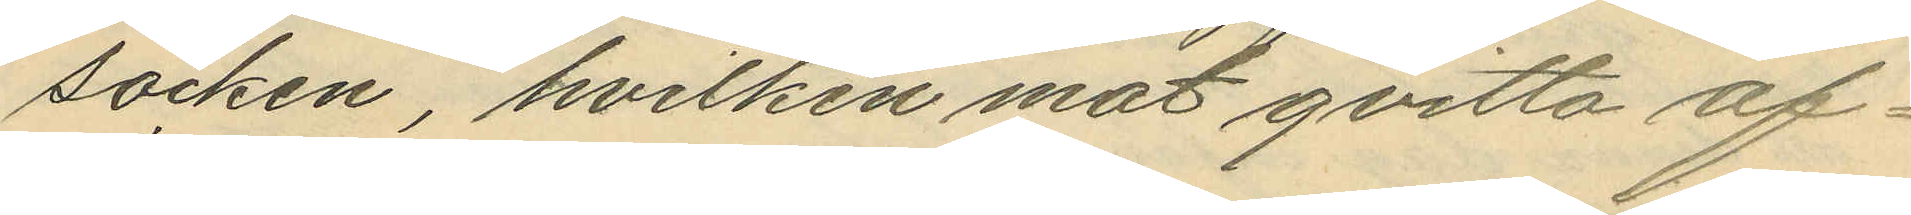socken, hvilken mot qvitto af¬
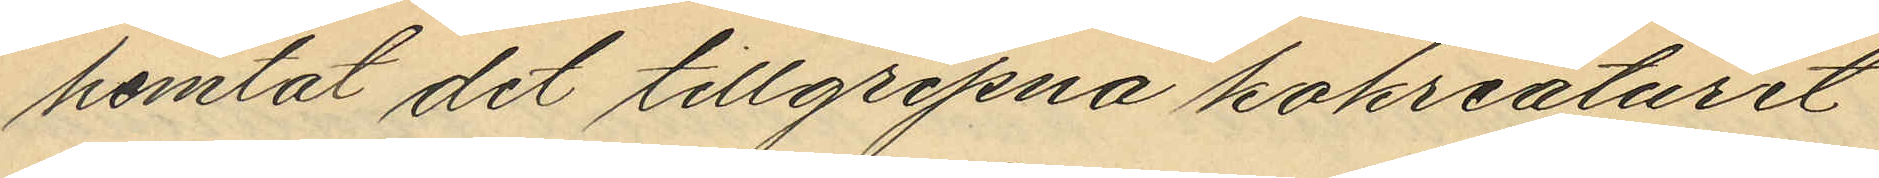hemtat det tillgripna kokreaturet
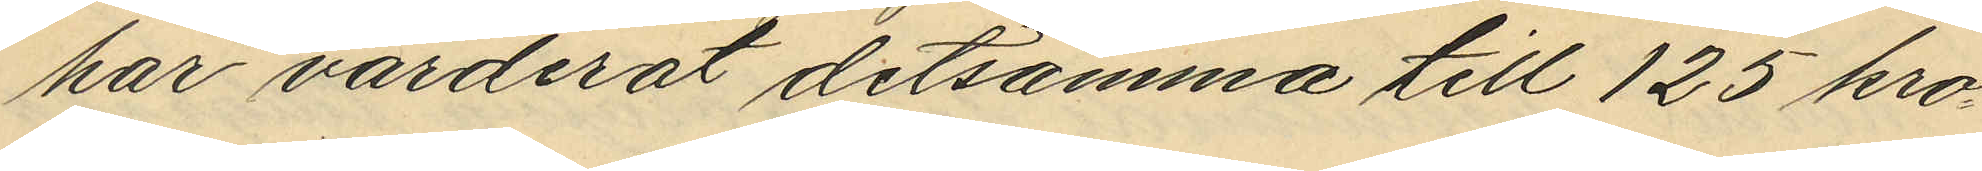har värderat detsamma till 125 kro¬
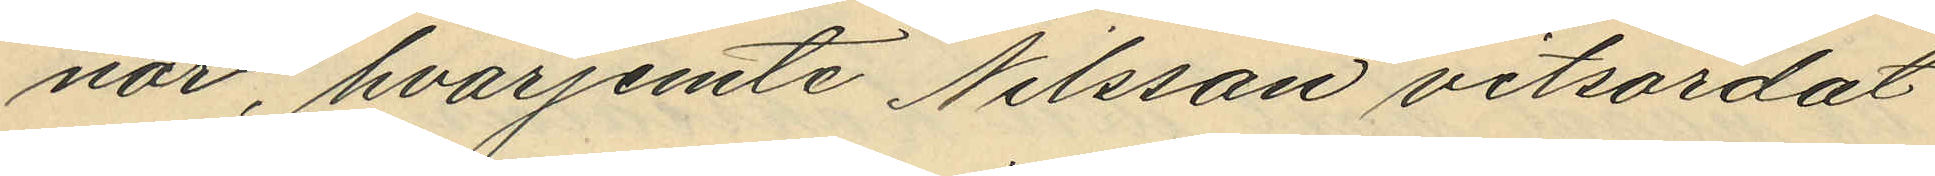nar, hvarjemte Nilsson vitsordat
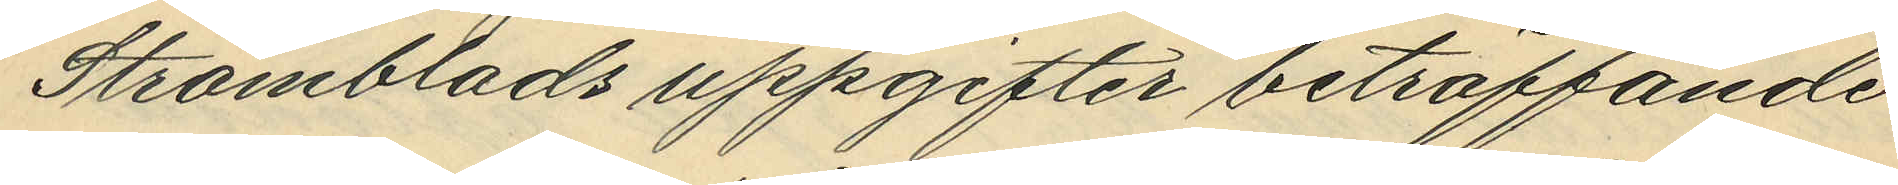Strömblads uppgifter beträffande
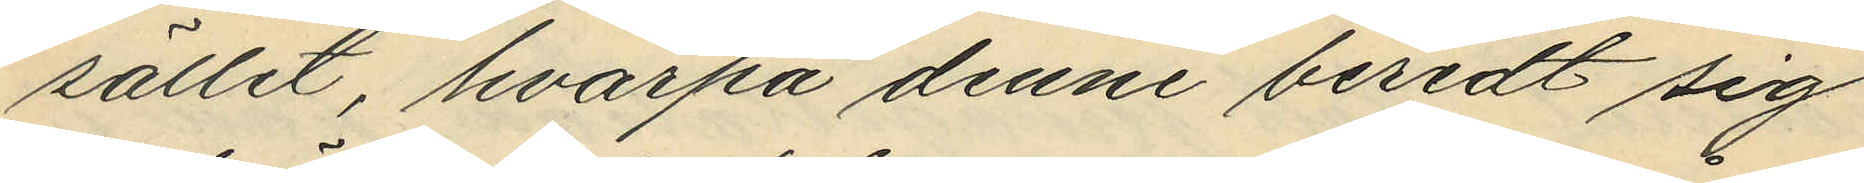sället, hvarpå denne beredt sig
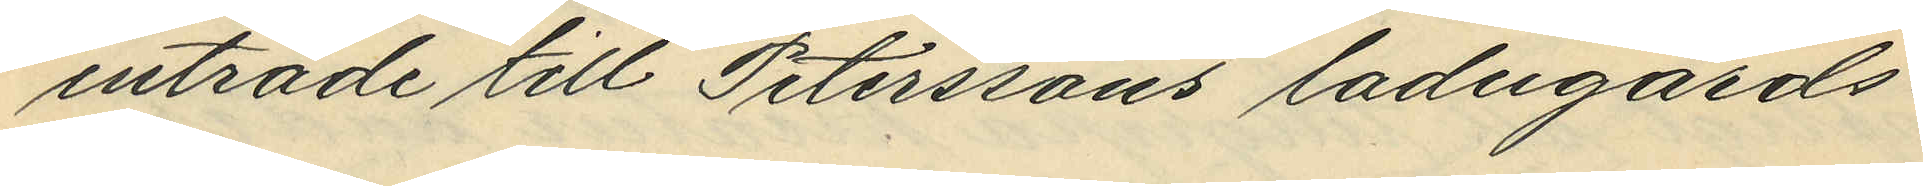inträde till Peterssons ladugårds¬
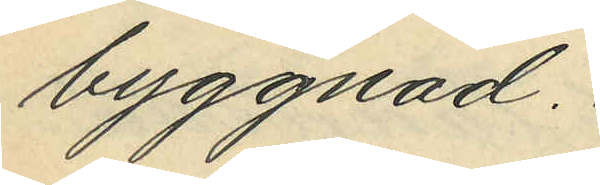byggnad.
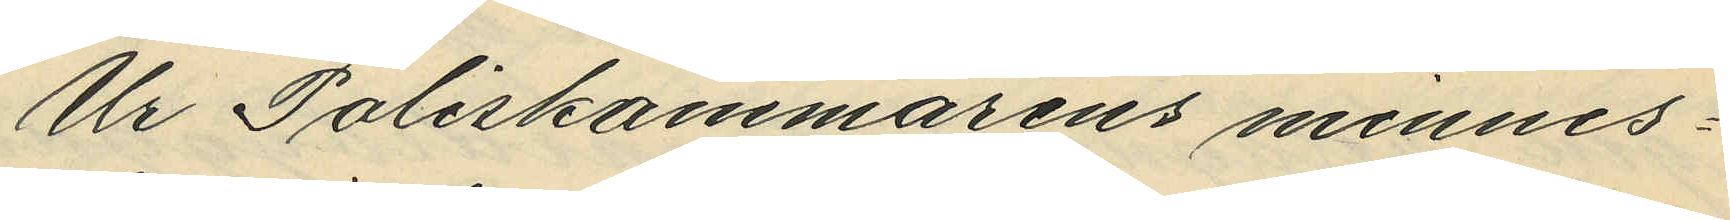Ur Poliskammarens minnes¬
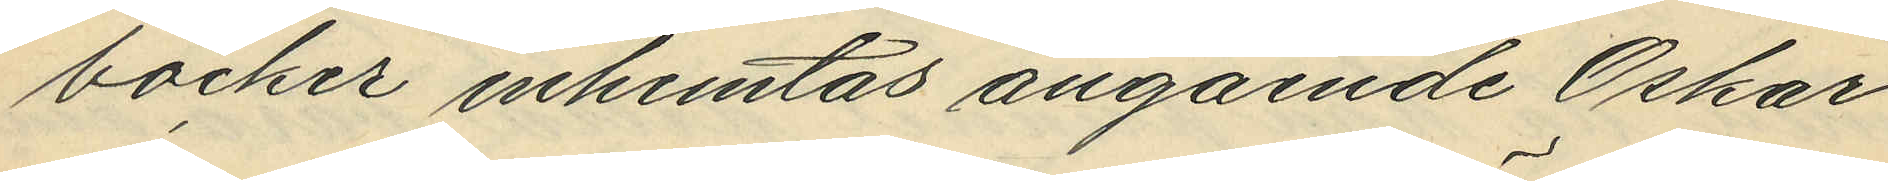böcker inhemtas angående Oskar
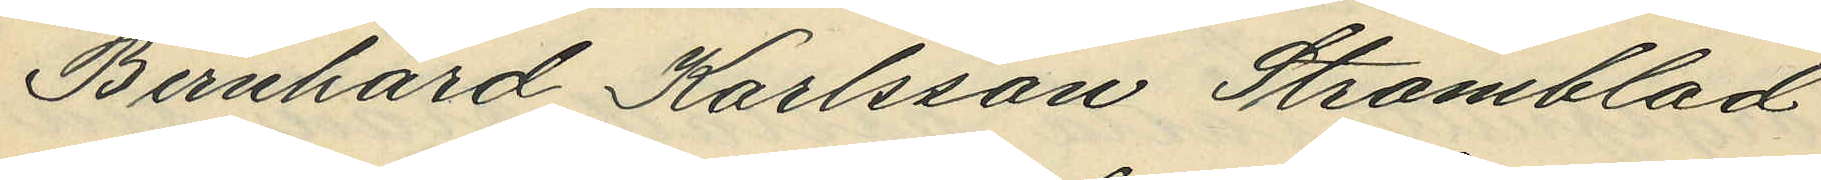Bernhard Karlsson Strömblad
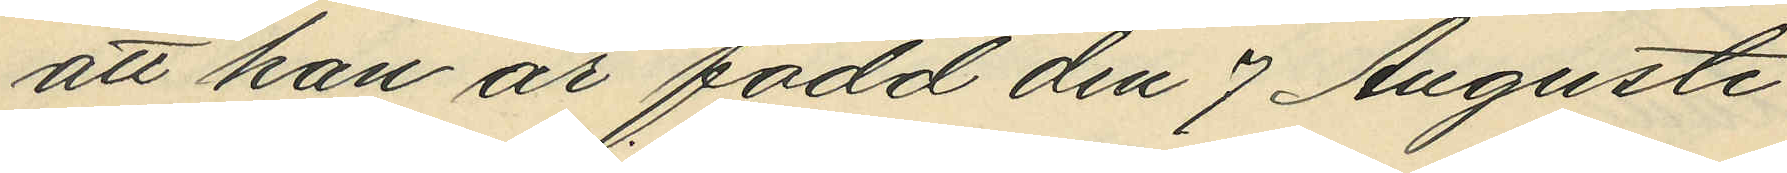att han är född den 7 Augusti
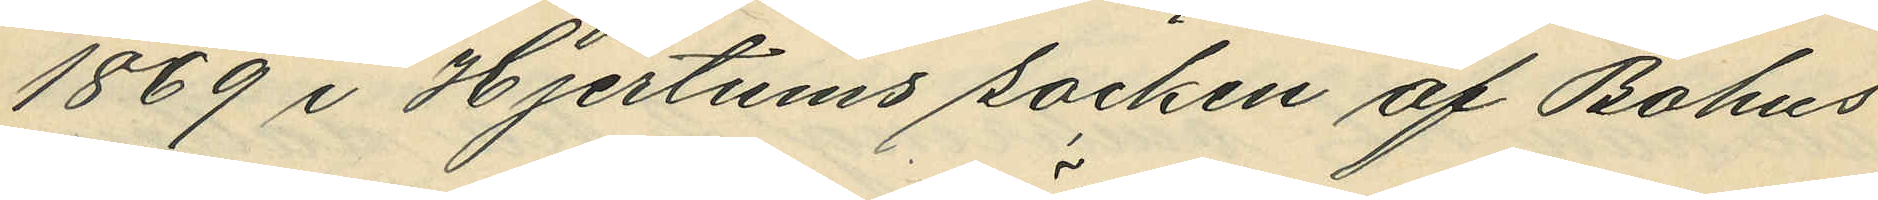1869 i Hjertums socken af Bohus
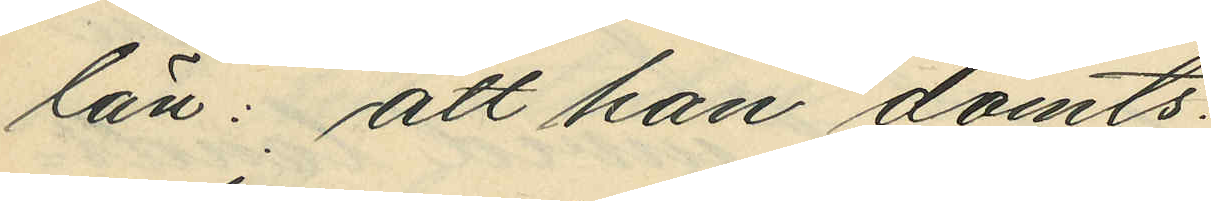län: att han dömts:
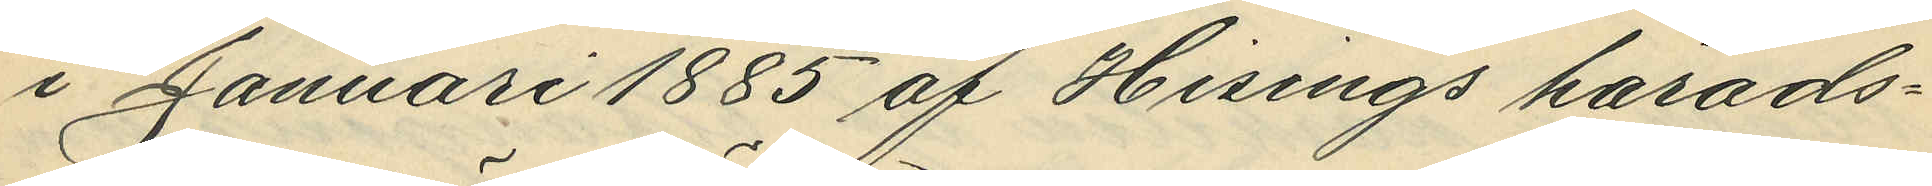i Januari 1885 af Hisings härads¬
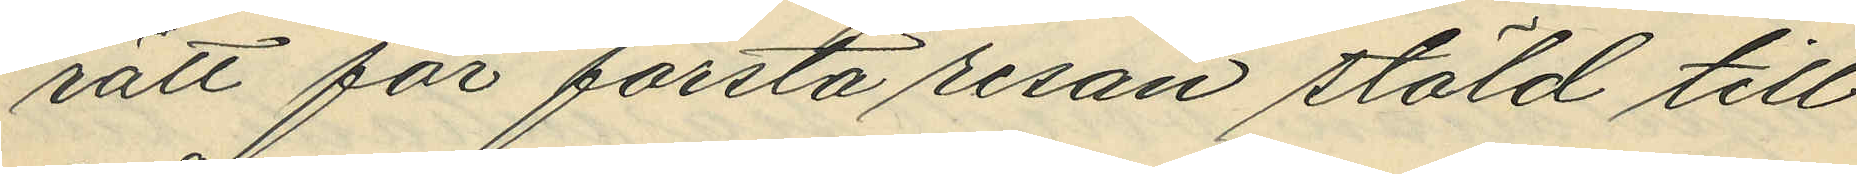rätt för första resan stäld till
